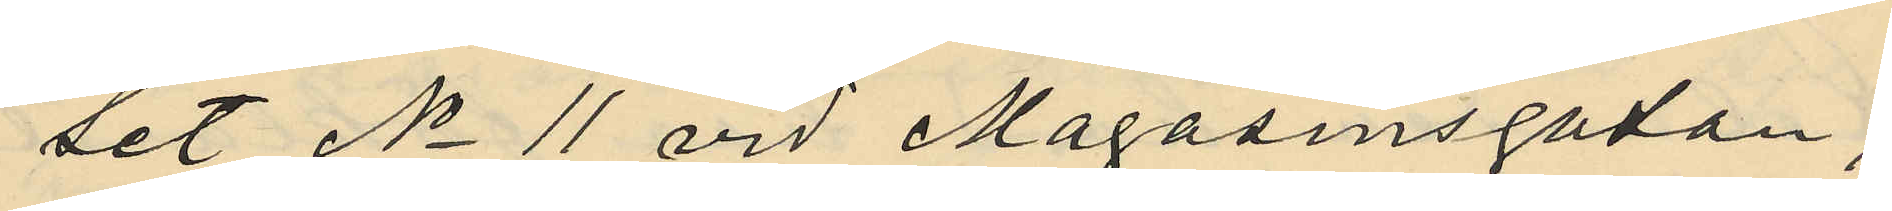set No 11 vid Magasinsgatan;
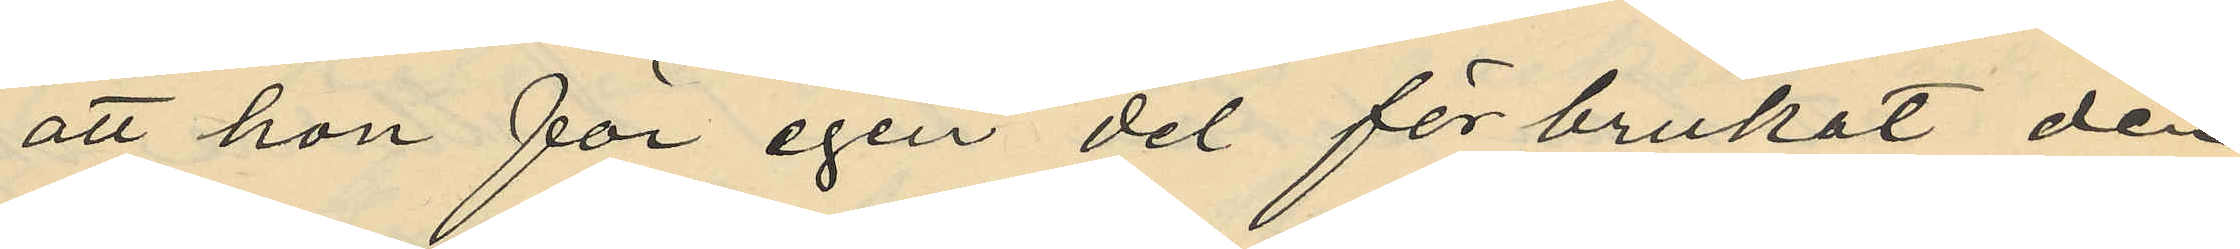att hon för egen del förbrukat den
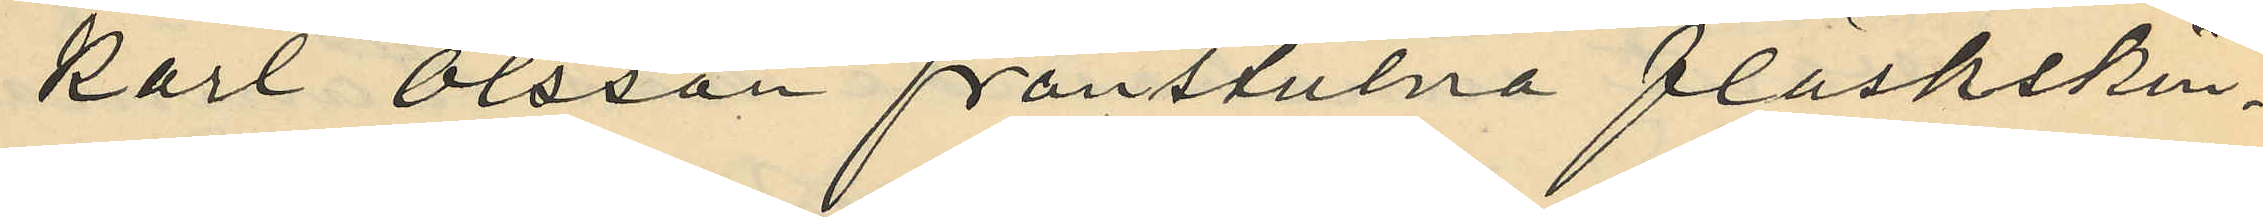Karl Olsson frånstulna fläskskin¬
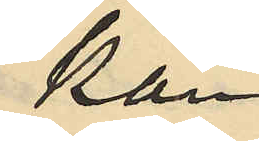kan;
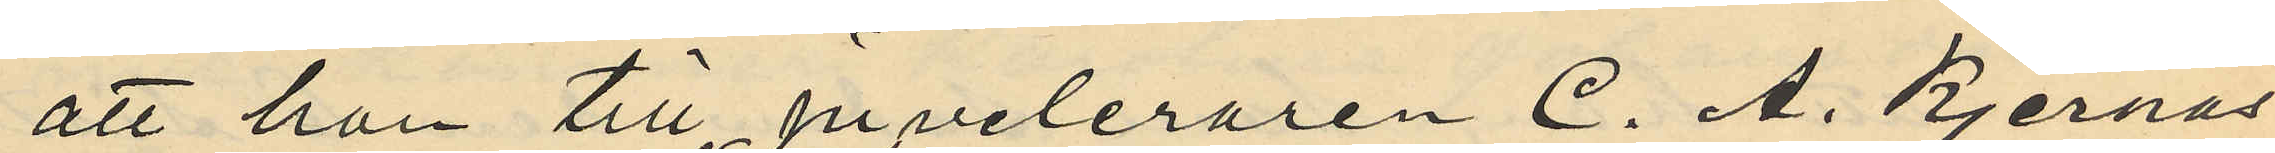att han till Juveleraren C. A. Kjernås
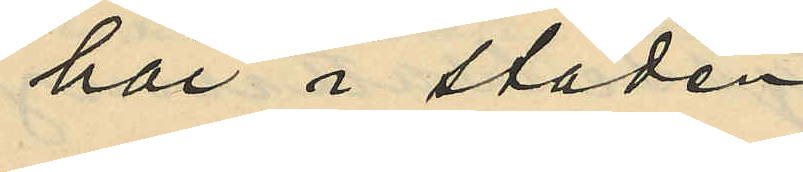här i staden
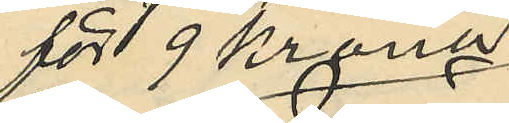för 19 Kronor
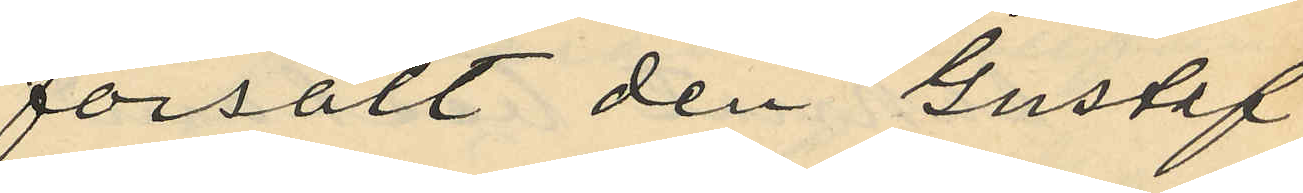försålt den Gustaf
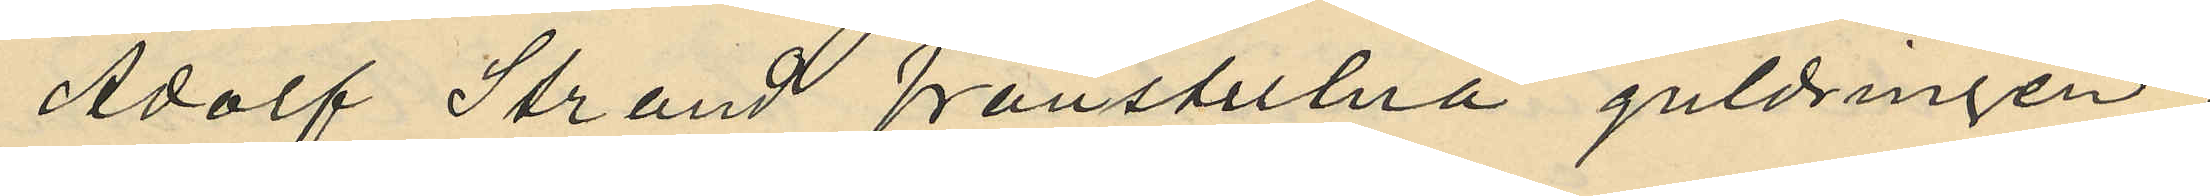Adolf Strand frånstulna guldringen;
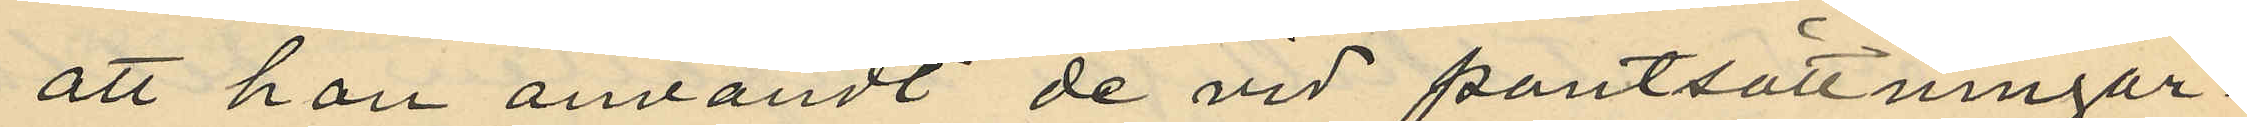att han användt de vid pantsättningar¬
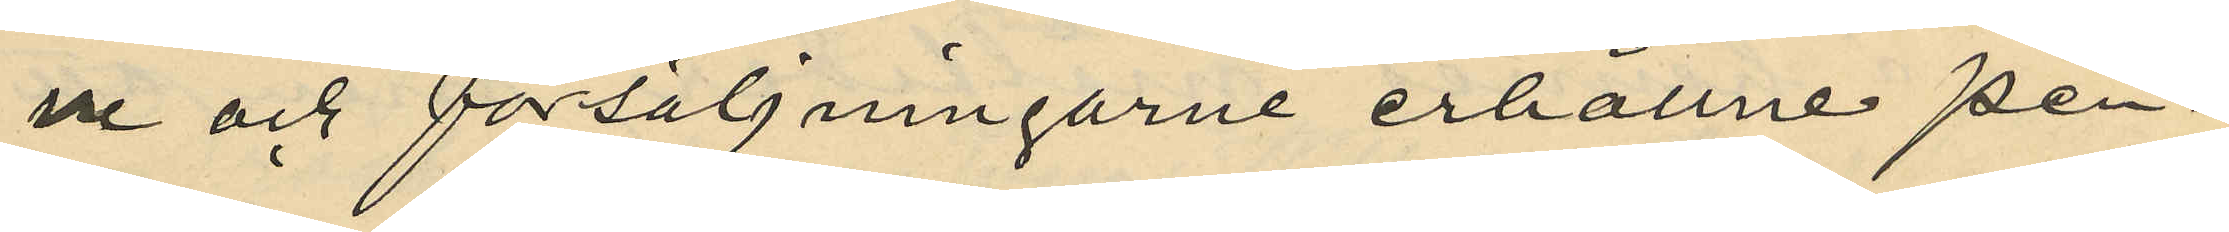ne och försäljningarne erhållne pen¬
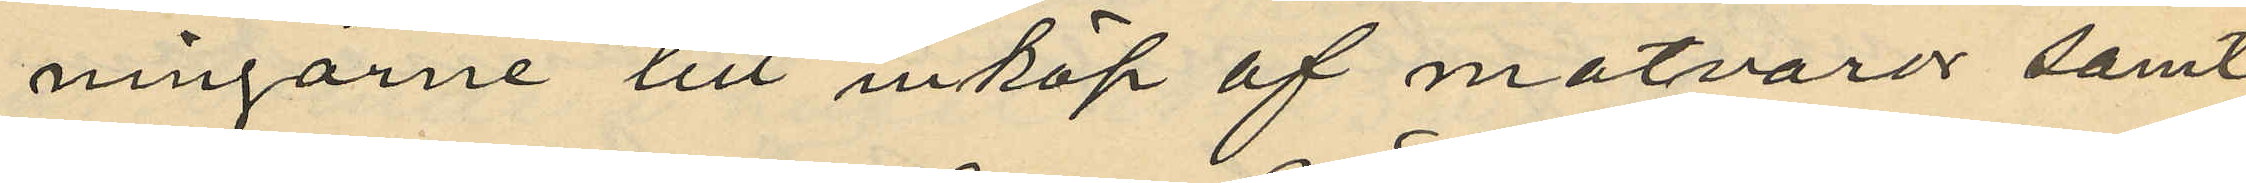ningarne till inköp af matvaror samt
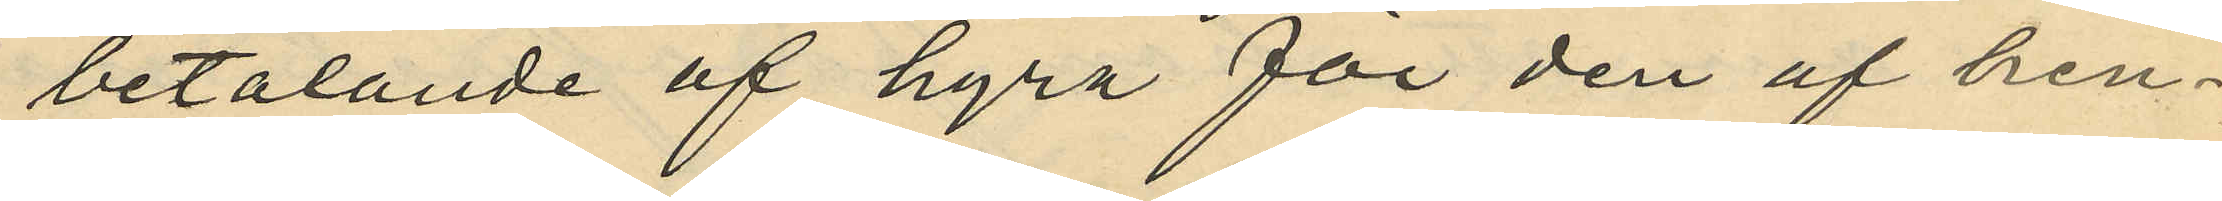betalande af hyra för den af hen¬
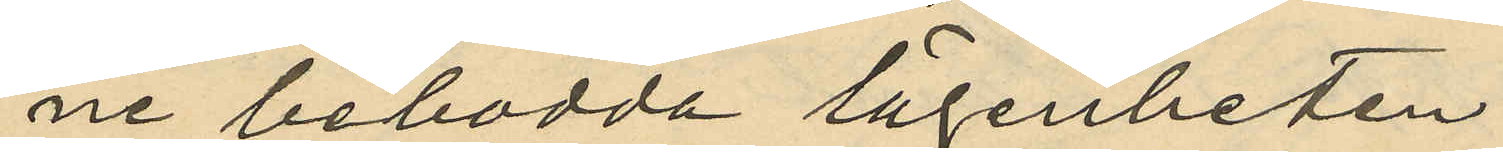ne bebodda lägenheten;
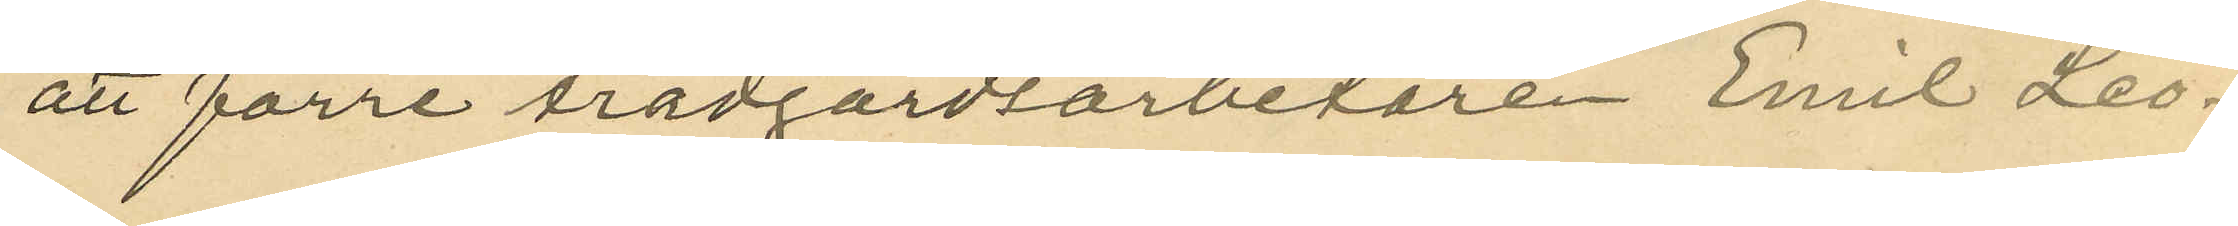att förre trädgårdsarbetaren Emil Leo¬
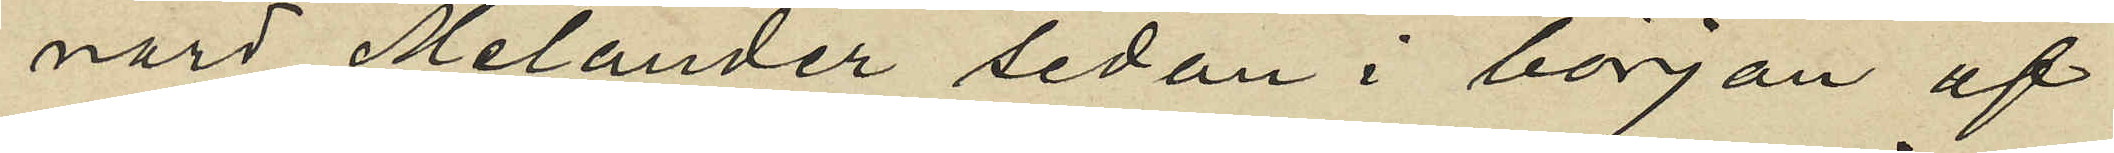nard Melander sedan i början af
